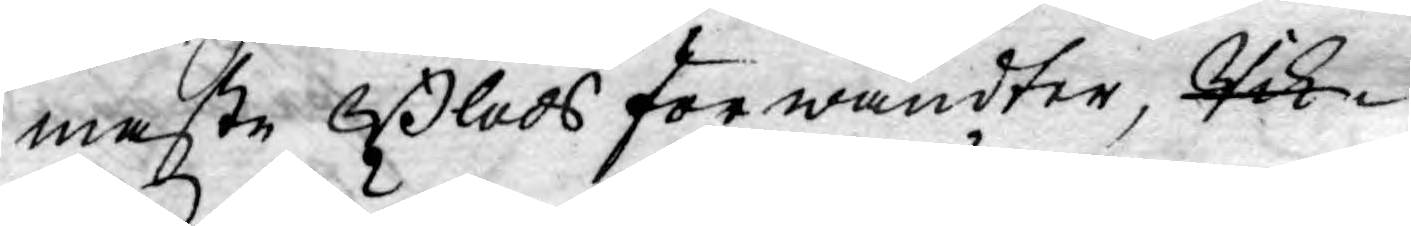maste Blods förwandter, Rik¬
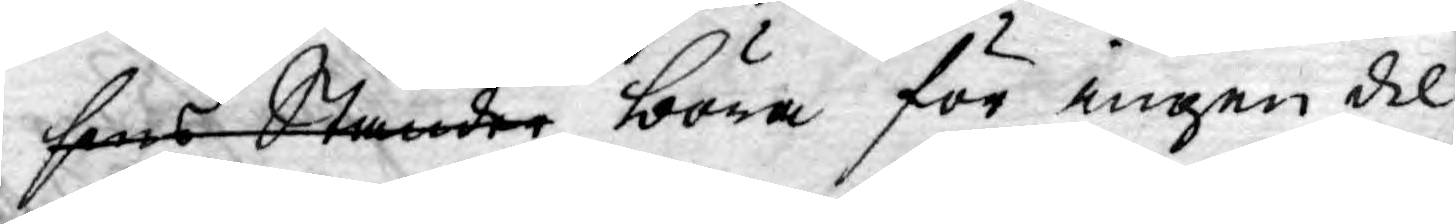sens Ständer böra för ingen del
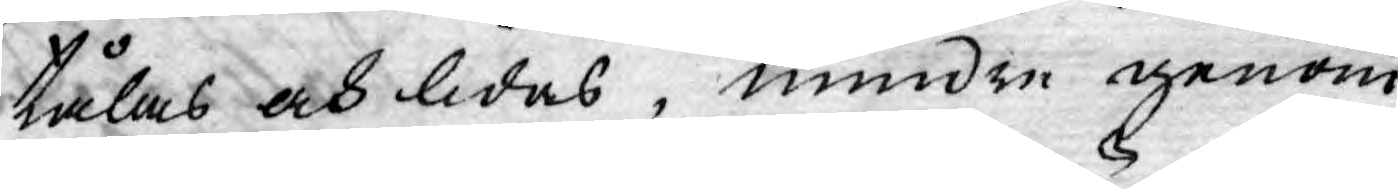tålas och lidas, mindre genom
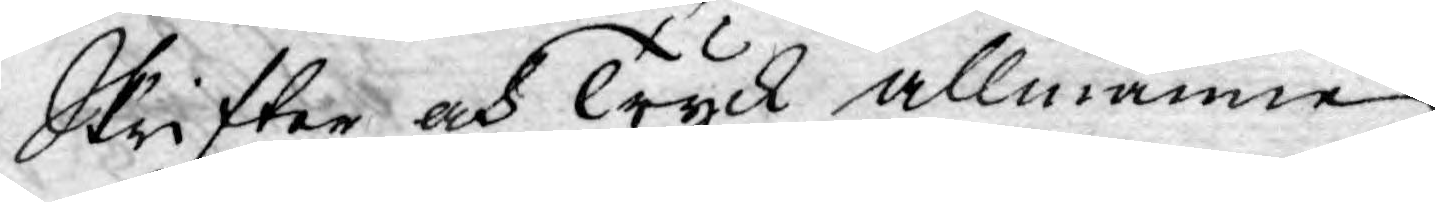Skrifter och Tryck allmänne
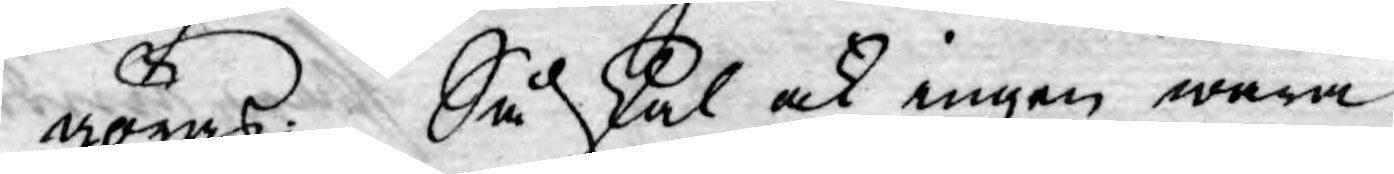göras: Så skal ock ingen wara
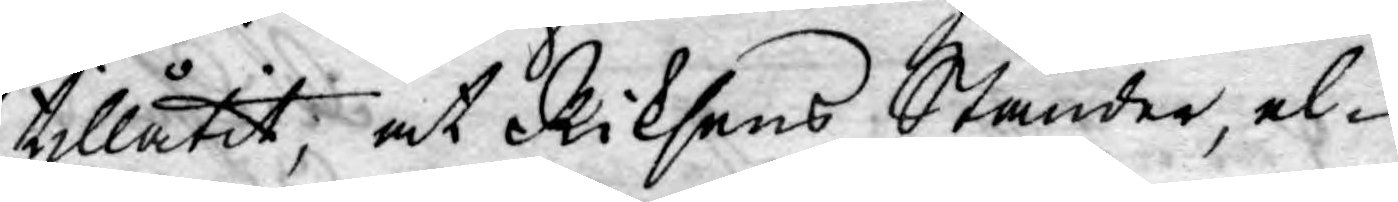tillåtit, at Riksens Ständer, el¬
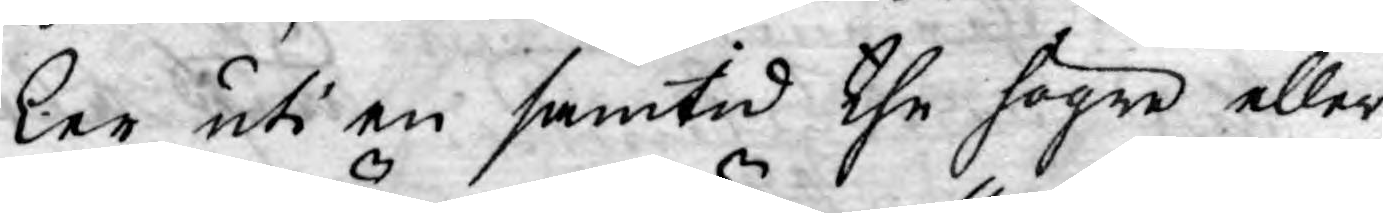ler uti en samtid the högre eller
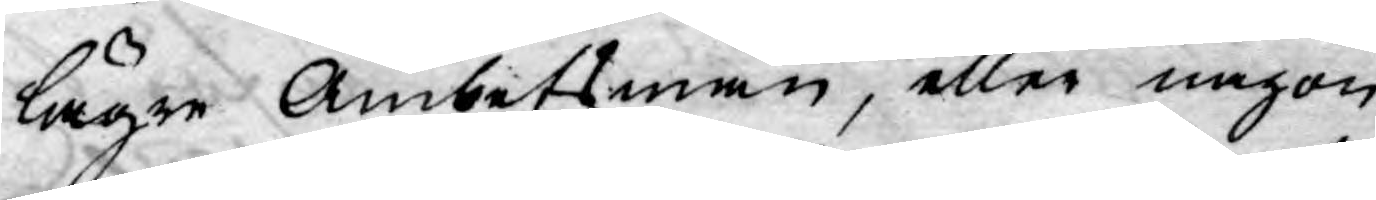lägre Ämbetsmän, eller någon
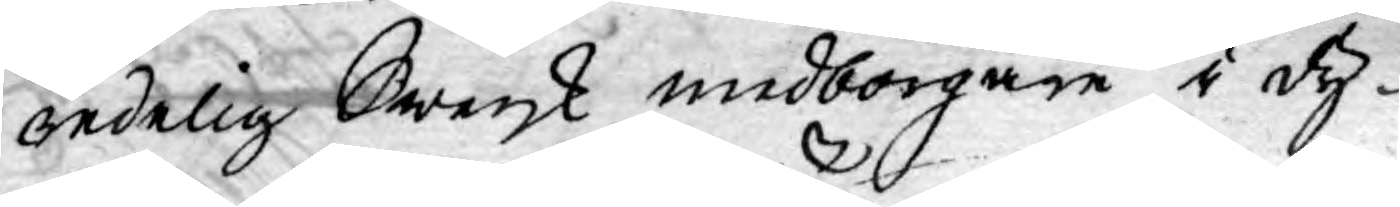redelig Swensk medborgare i dy¬
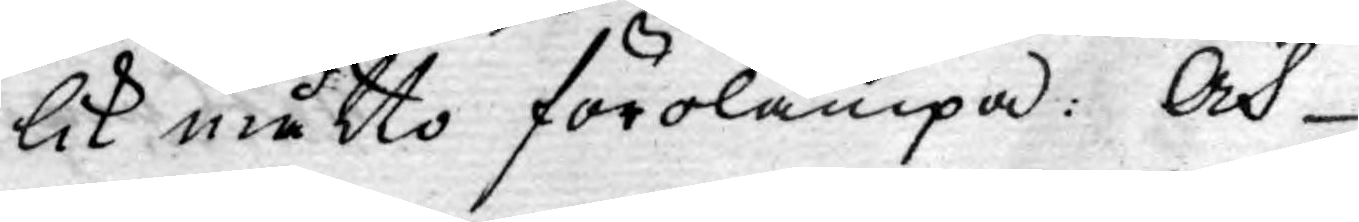lik måtto förolämpa: Och
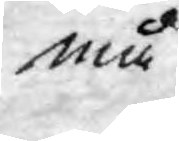må
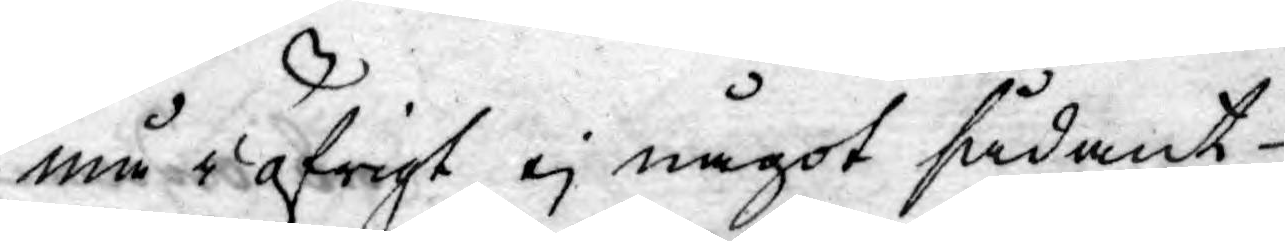må i öfrigt ej något sådant
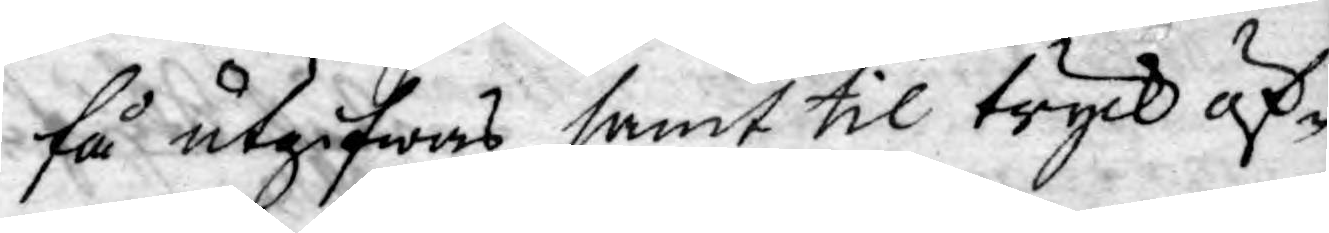få utgifwas samt til tryck öf¬
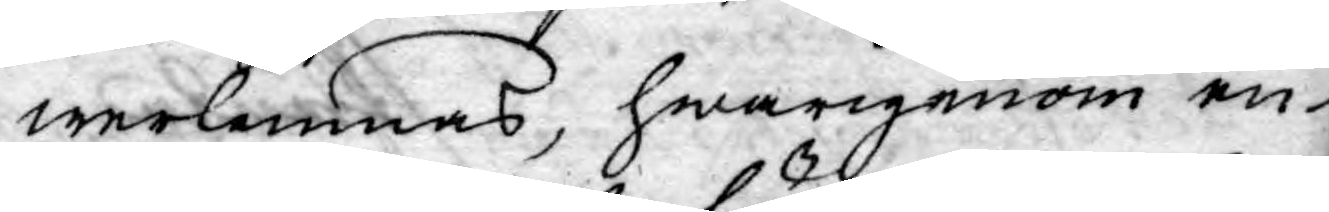werlemnas, hwarigenom en
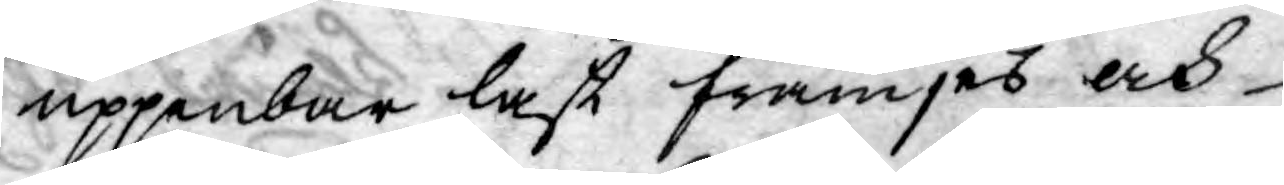uppenbar last främjes och
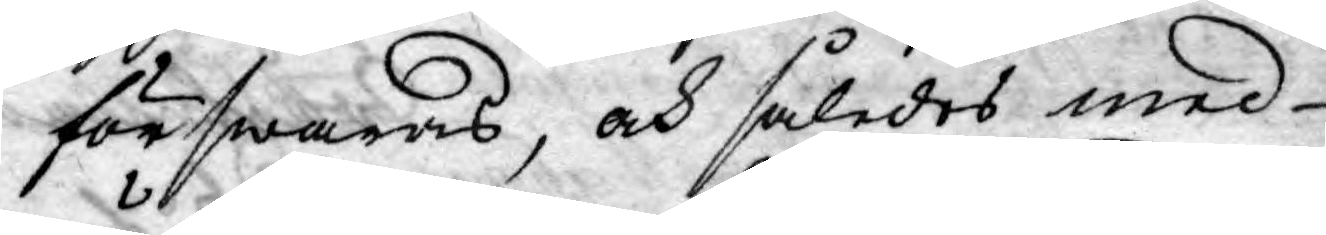förswaras, och således med
